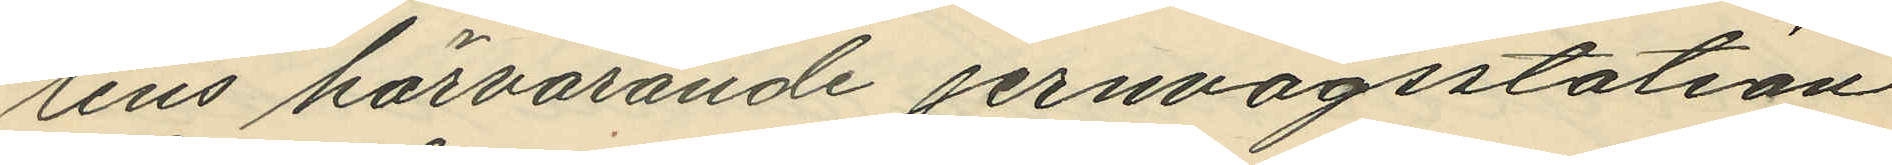tens härvarande jernvägsstation
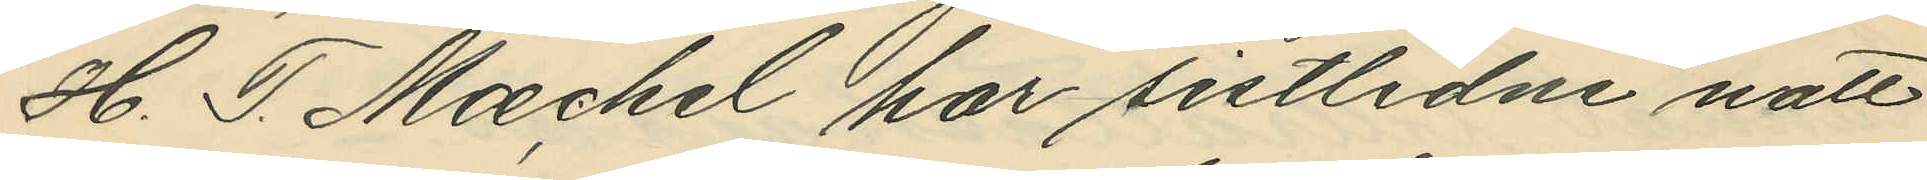H. T. Maechel har sistlidne natt
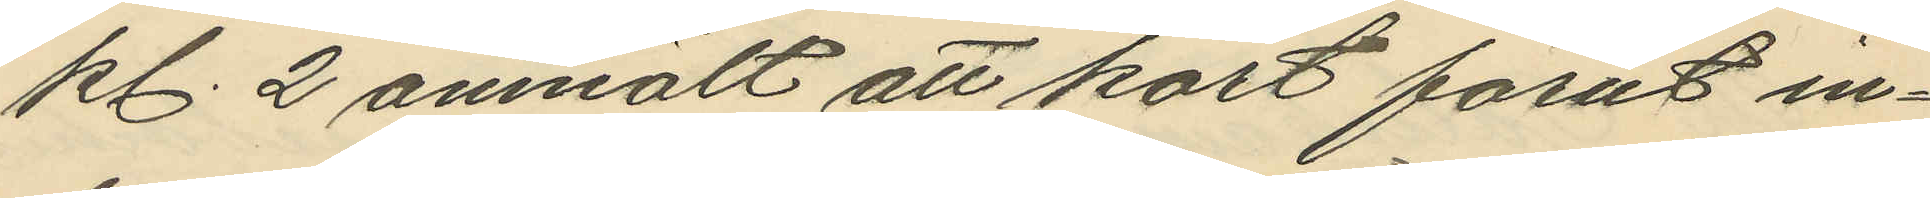kl. 2 anmält att kort förut in¬
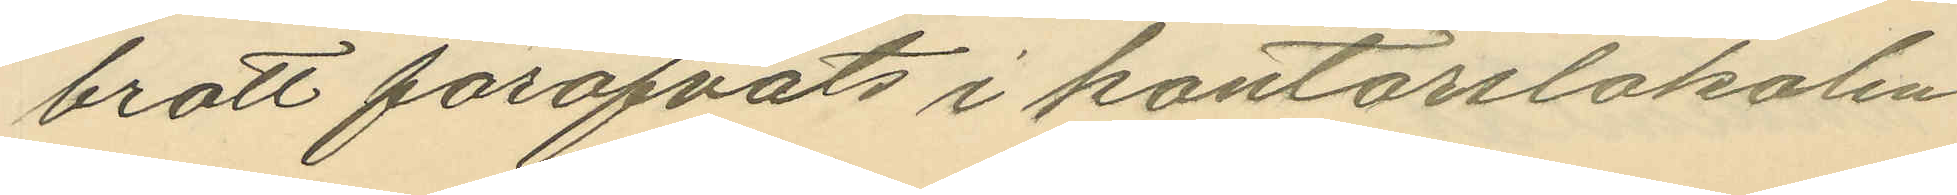brott förofvats i kontorslokalen
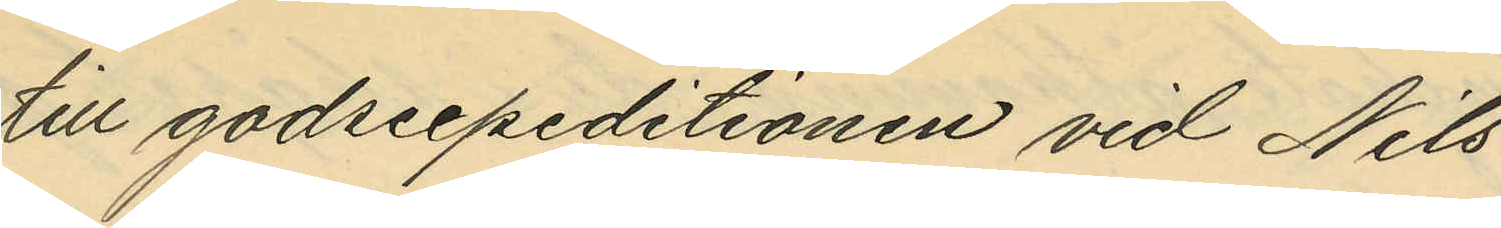till godsexpeditionen vid Nils
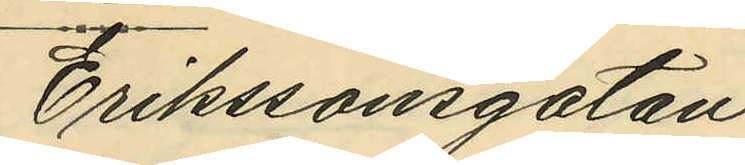Erikssonsgatan;
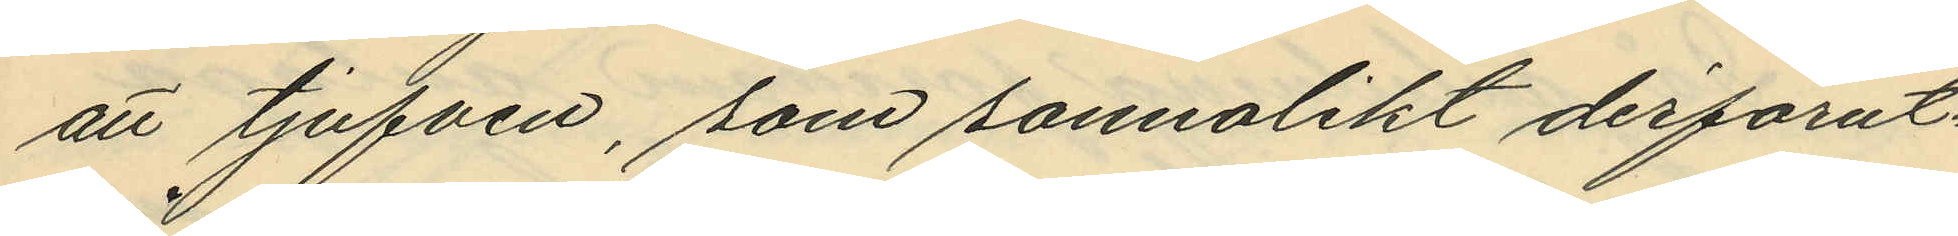att tjufven, som sannolikt derförut¬
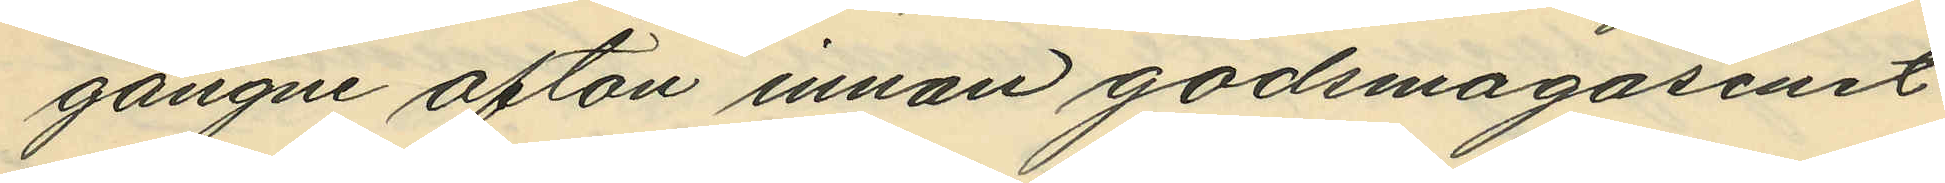gångne afton innan godsmagasinet
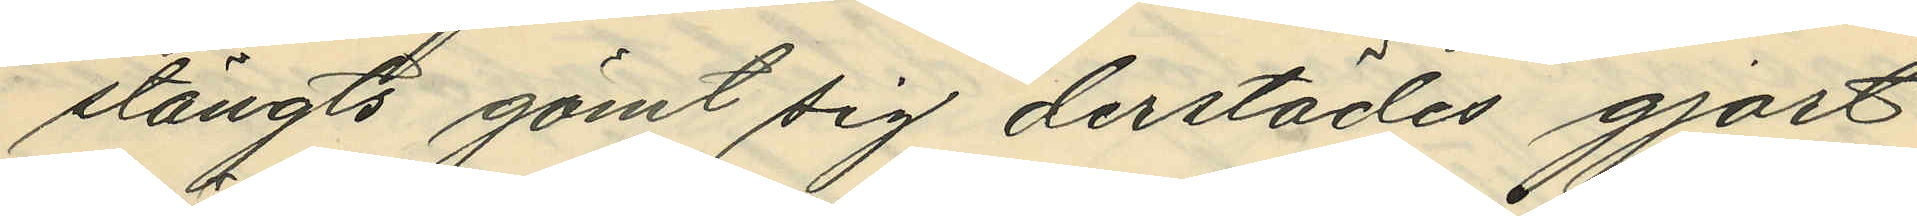stängts gömt sig derstädes gjort
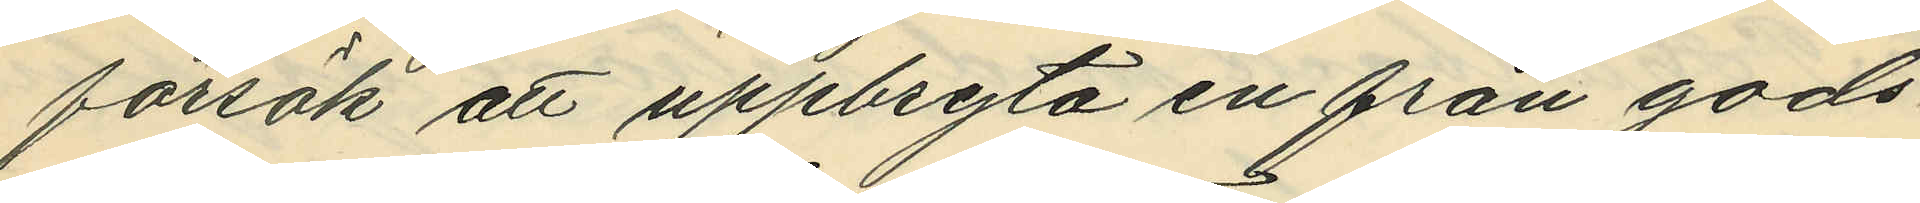försök att uppbryta en från gods¬
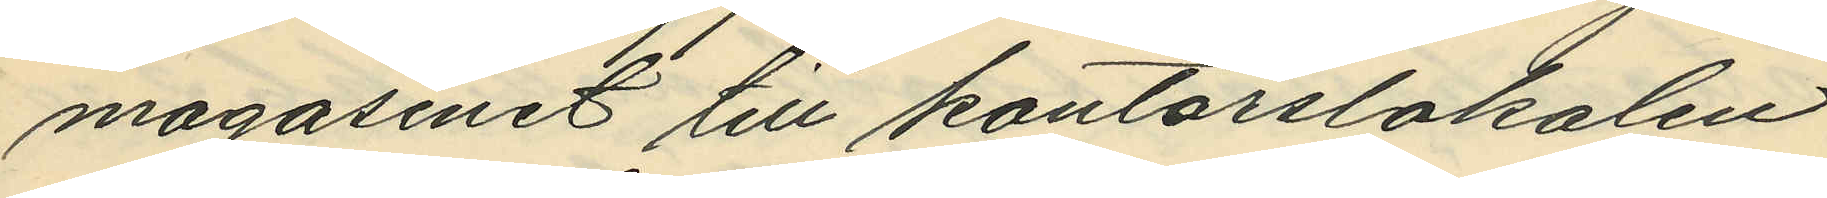magasinet till kontorslokalen
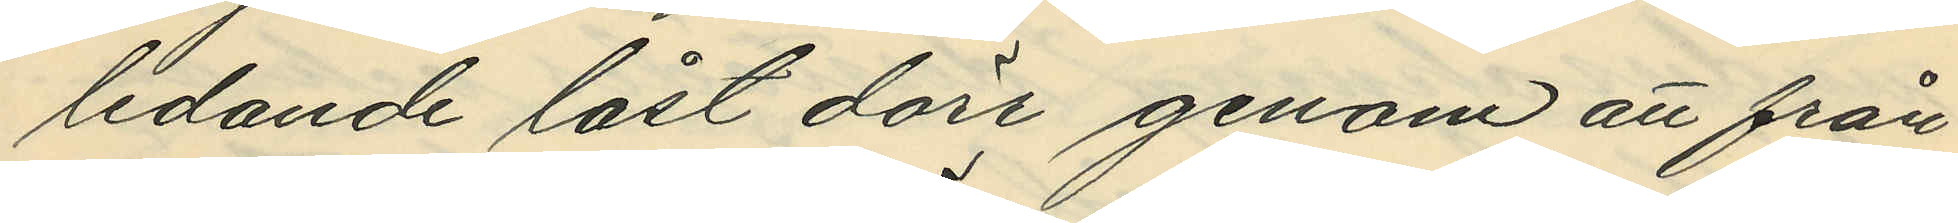ledande låst dörr genom att från¬
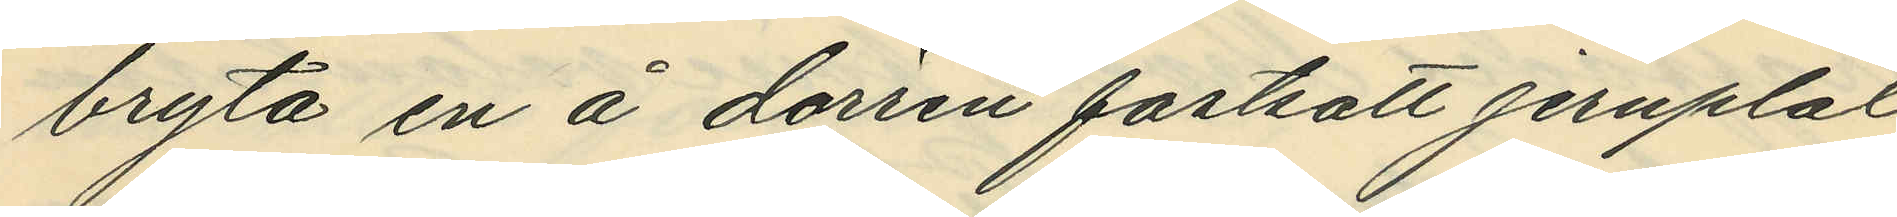bryta en å dörren fastsatt jernplåt
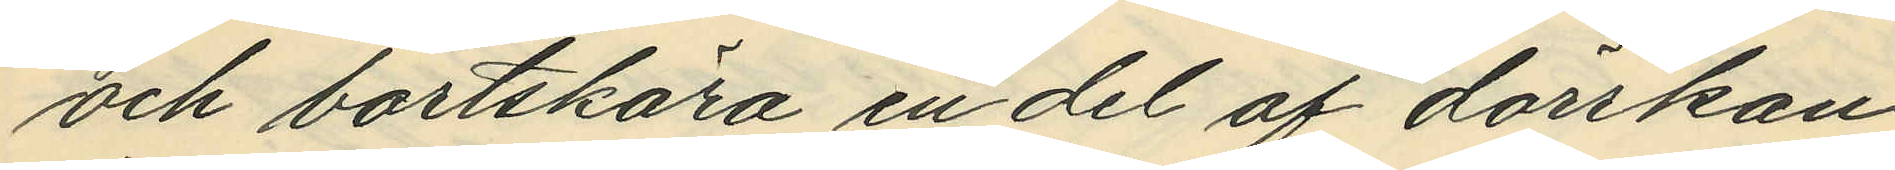och bortskära en del af dörrkan¬
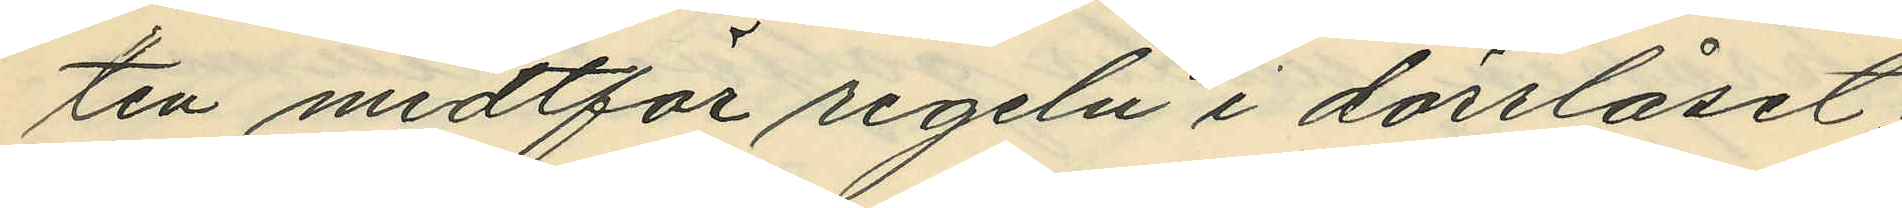ten midtför rigeln i dörrlåset;
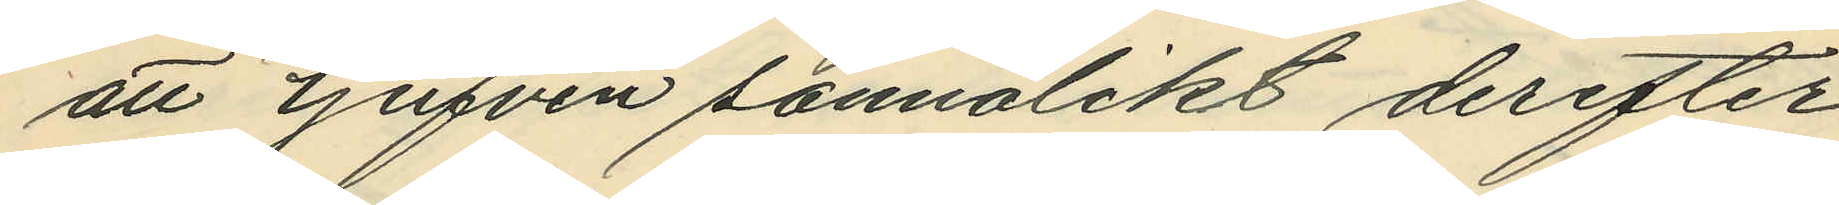att tjufven sannolikt derefter
